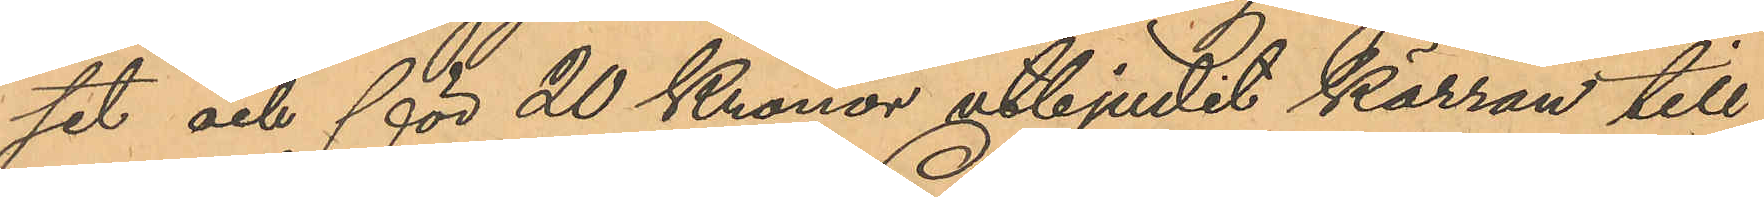set och för 20 Kronor utbjudit kärran till
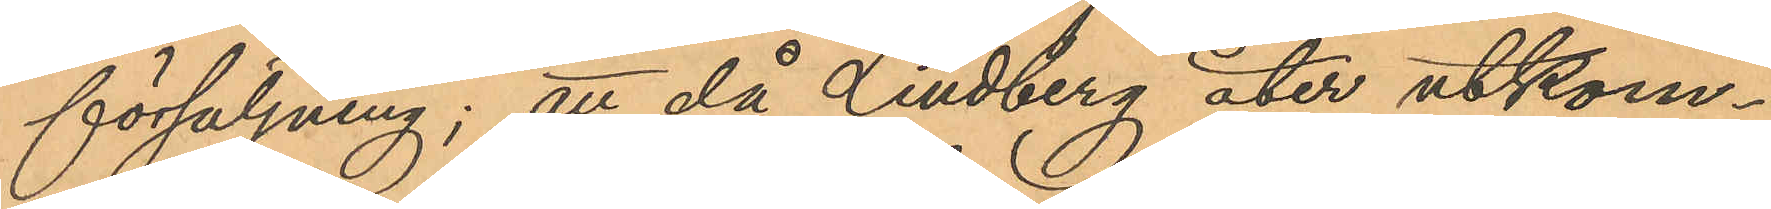försäljning; att då Lindberg åter utkom¬
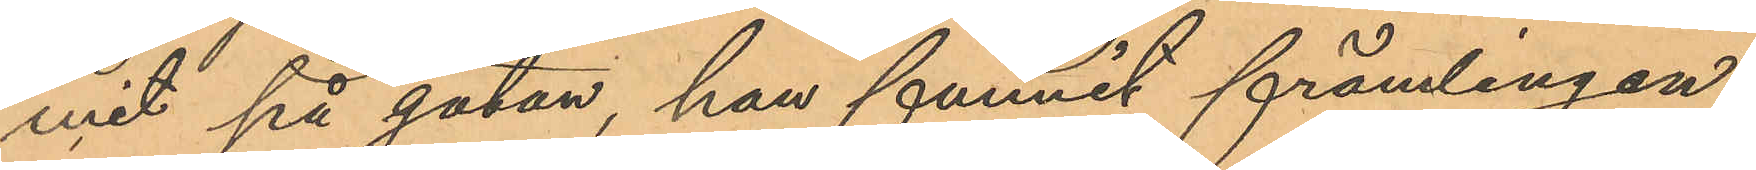mit på gatan, han funnit främlingen
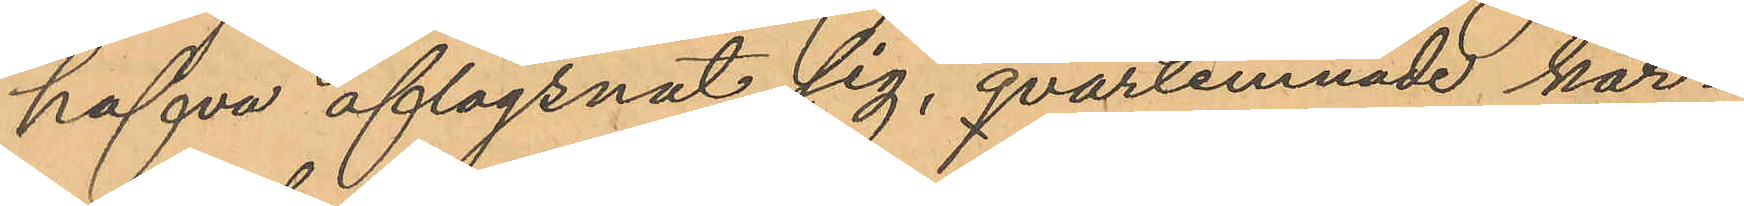hafva aflägsnat sig, qvarlemnade kär¬
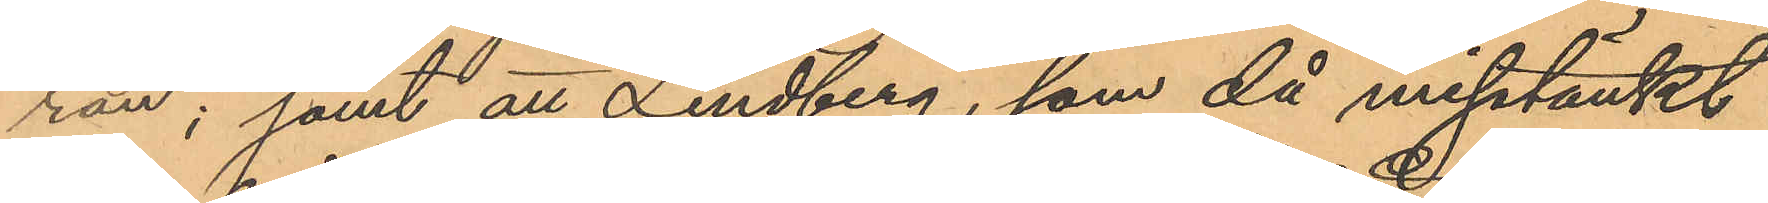ran; samt att Lindberg, som då misstänkt
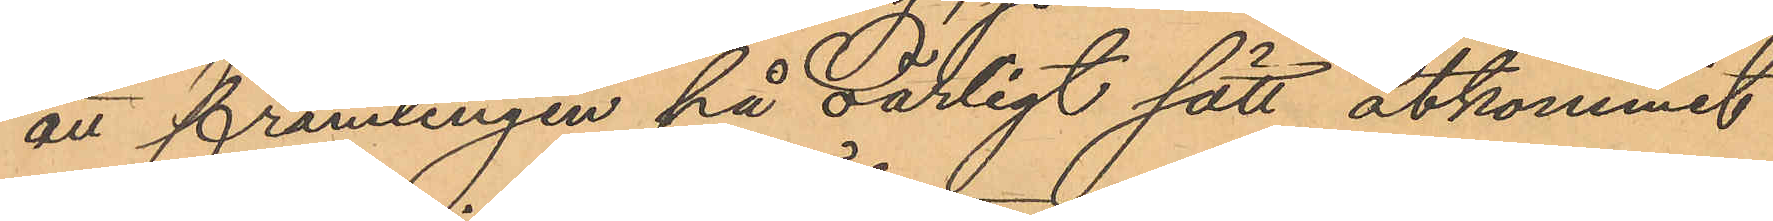att främlingen på oärligt sätt åtkommit
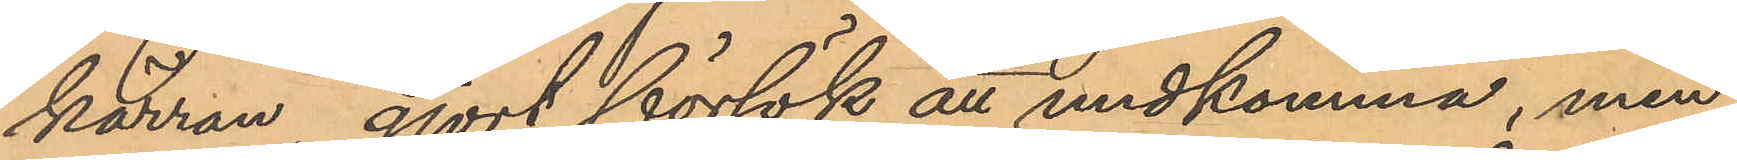kärran, gjort försök an undkomma, men
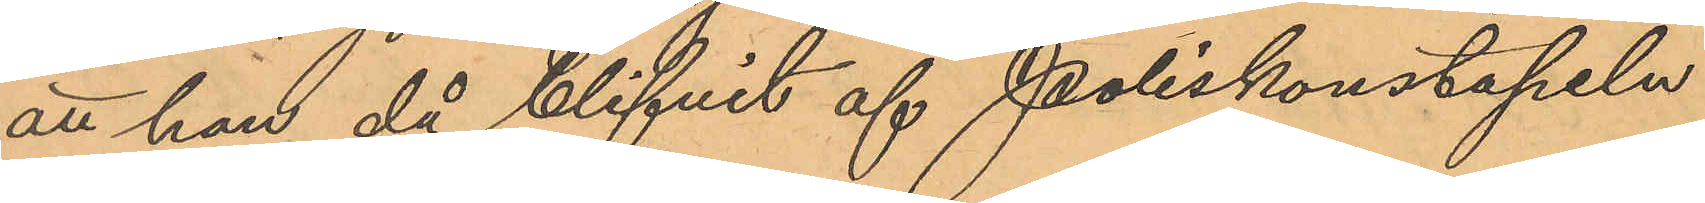att han, då blifvit af Poliskonstapeln
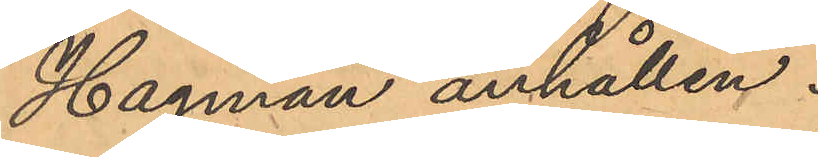Hagman anhållen.
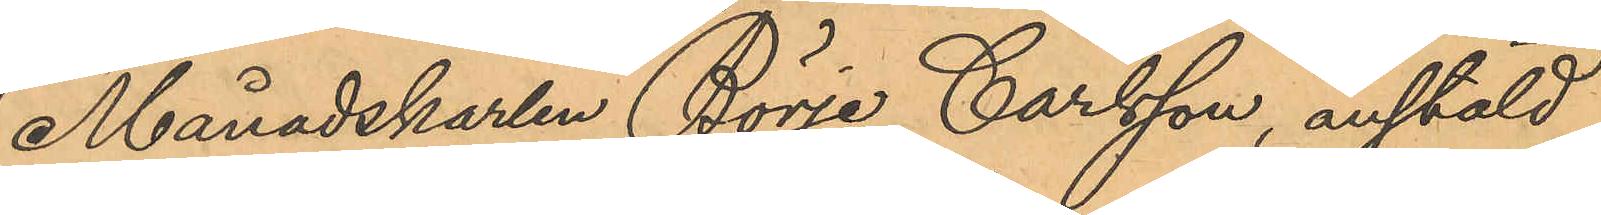Månadskarlen Börje Carlsson, anstäld
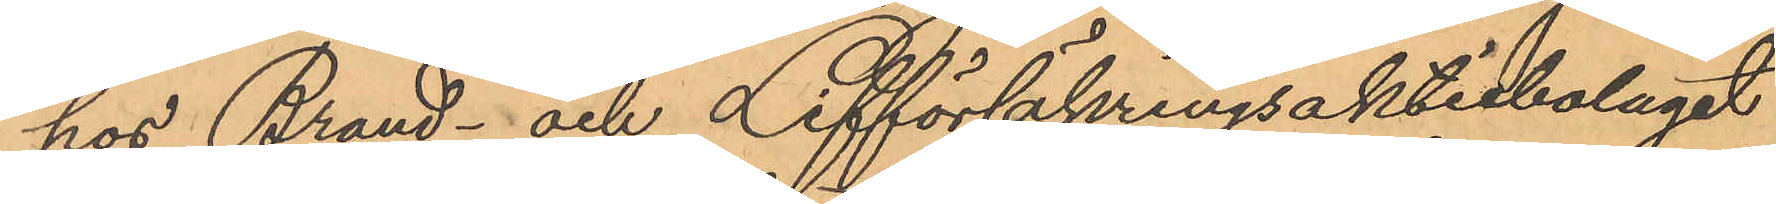hos Brand- och Lifförsäkringsaktiebolaget
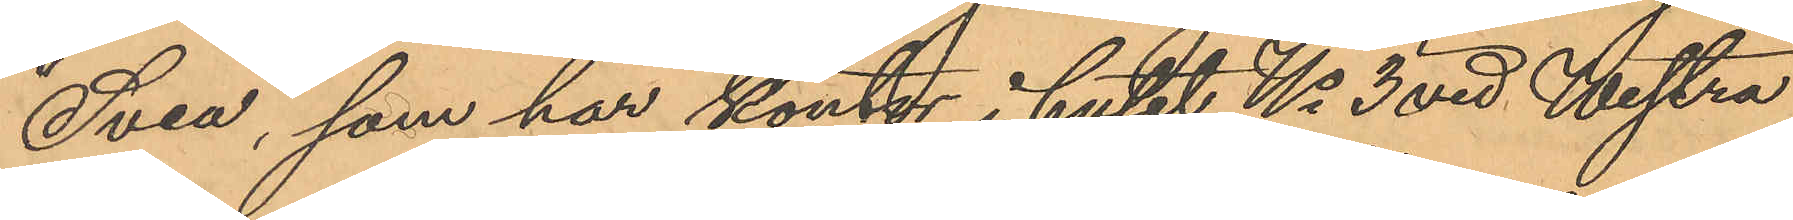"Svea", som har kontor i huset No 3 vid Westra
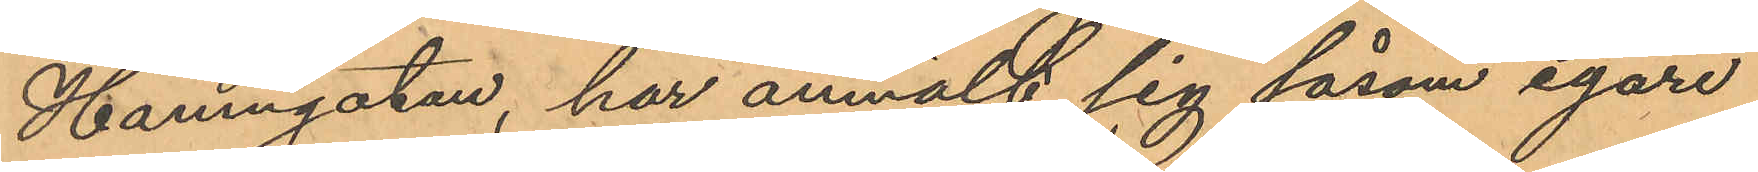Hamngatan, har anmält sig såsom egare
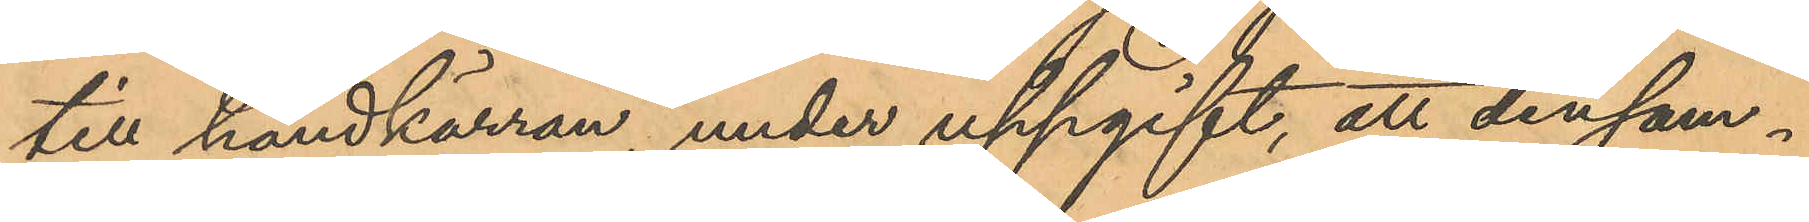till handkärran, under uppgift, att densam¬
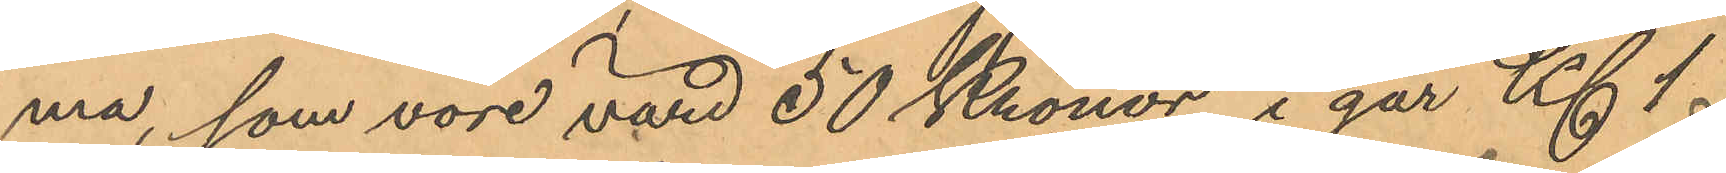ma, som vore värd 50 Kronor, i går Kl. 1
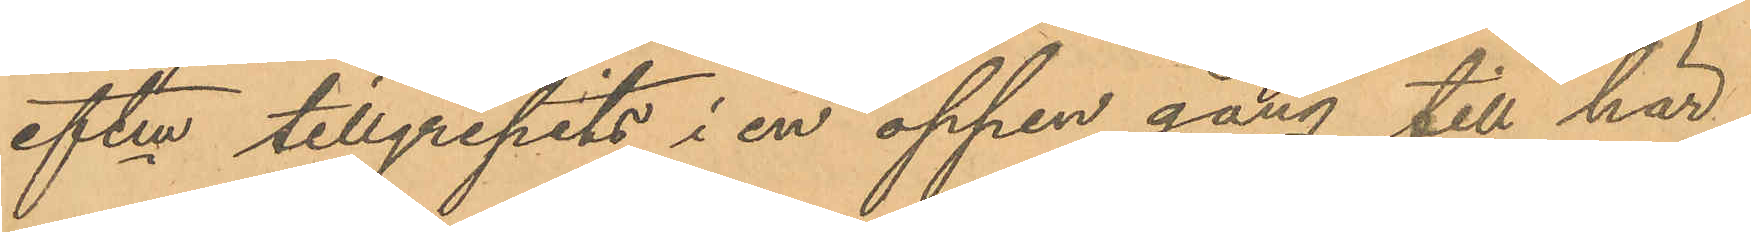eftm tillgripits i en öppen gång till här¬
